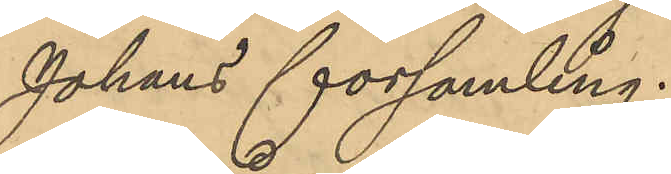Johans församling.
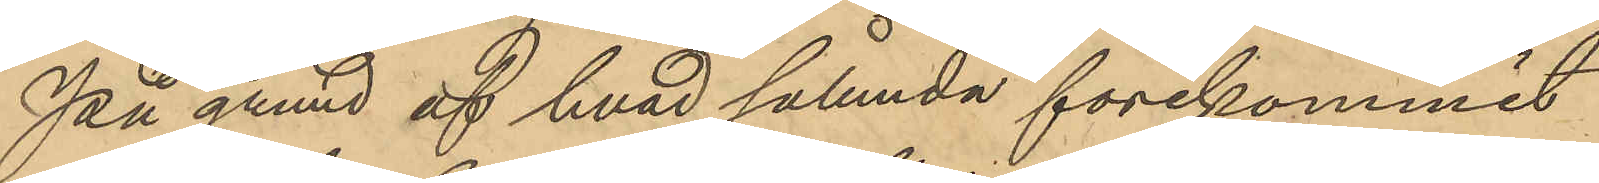På grund af hvad sålunda förekommit
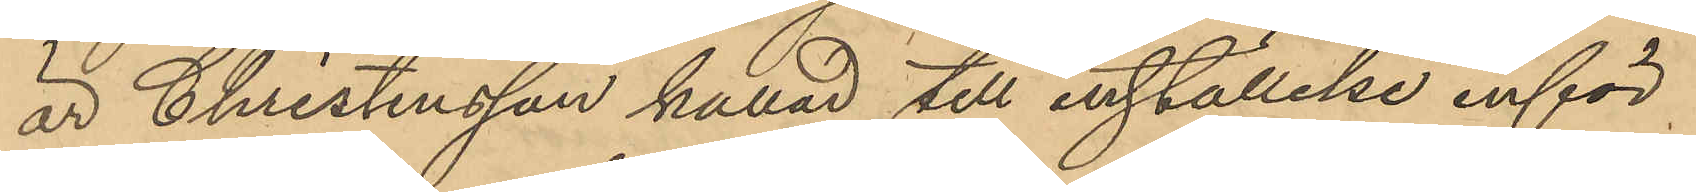är Christensson kallad till inställelse inför
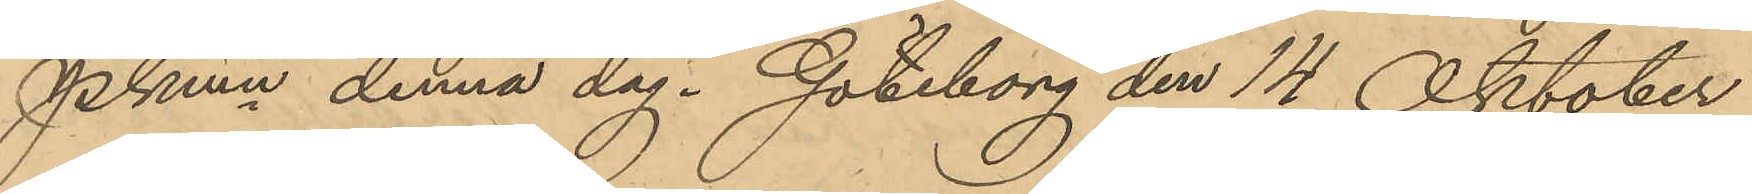Pkmn denna dag. Göteborg den 14 Oktober
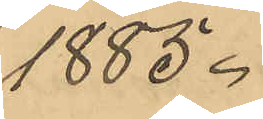1885.
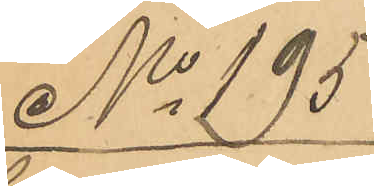No 195
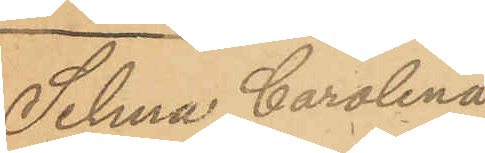Selma Carolina
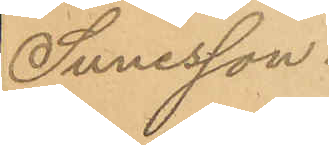Sunesson.
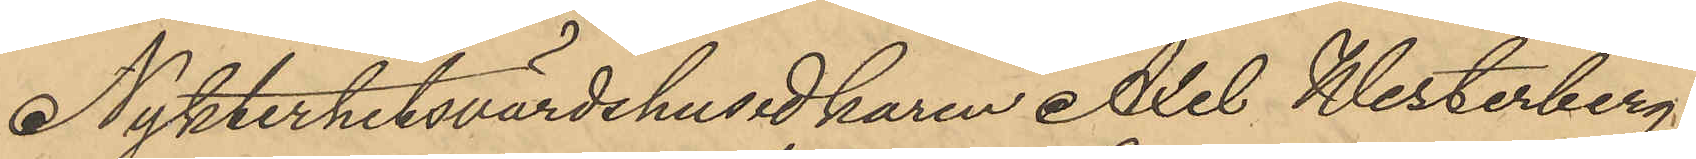Nykterhetsvärdshusidkaren Axel Westerberg,
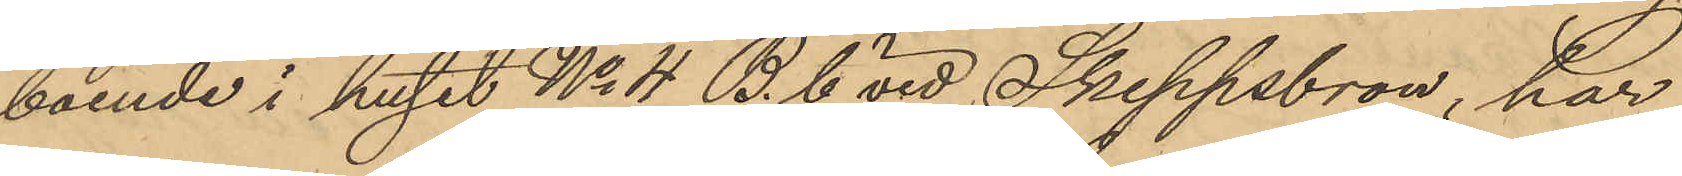boende i huset No 4 B. C vid Skeppsbron, har
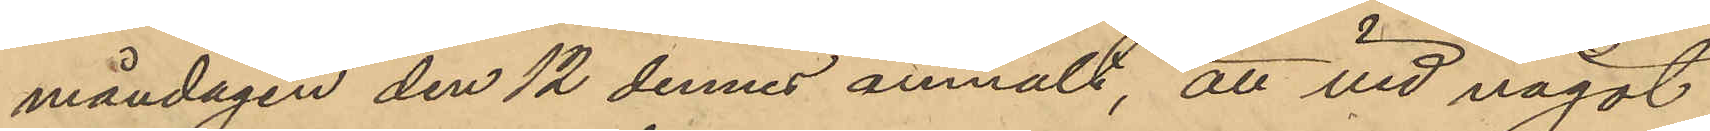måndagen den 12 dennes anmält, att vid något
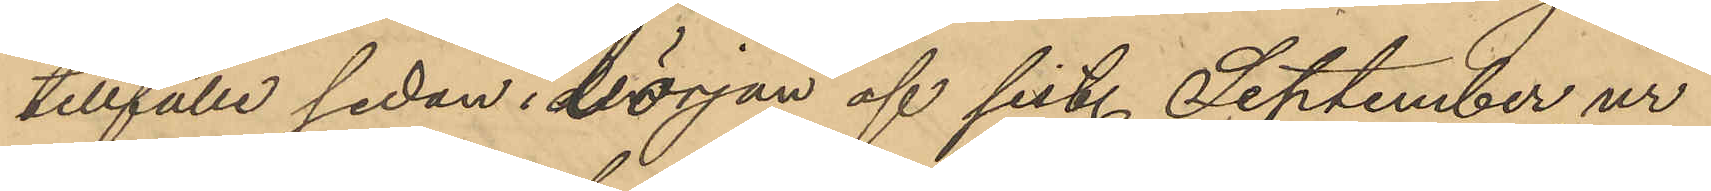tillfälle sedan i början af sist. September ur
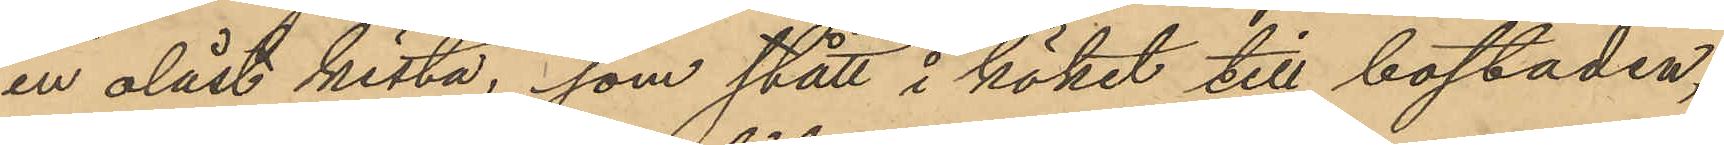en olåst kista, som stått i köket till bostaden,
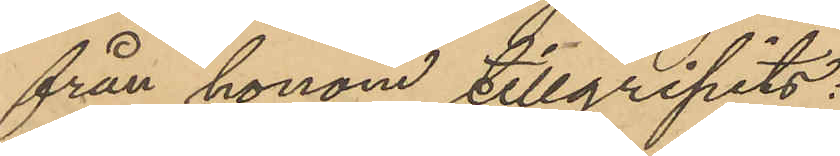från honom tillgripits:
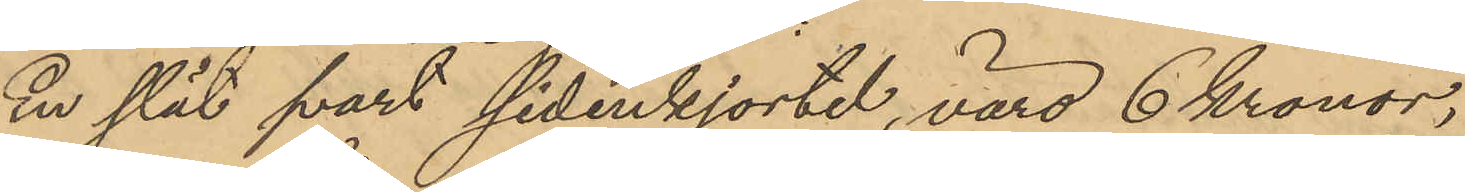En slät svart sidenkjortel, värd 6 Kronor;
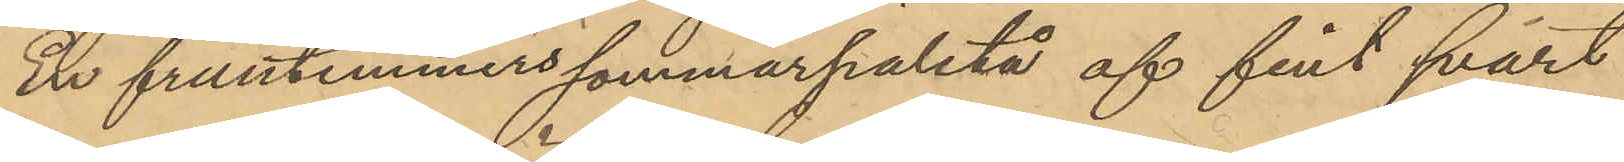En fruntimmerssommarpaletå af fint svart
